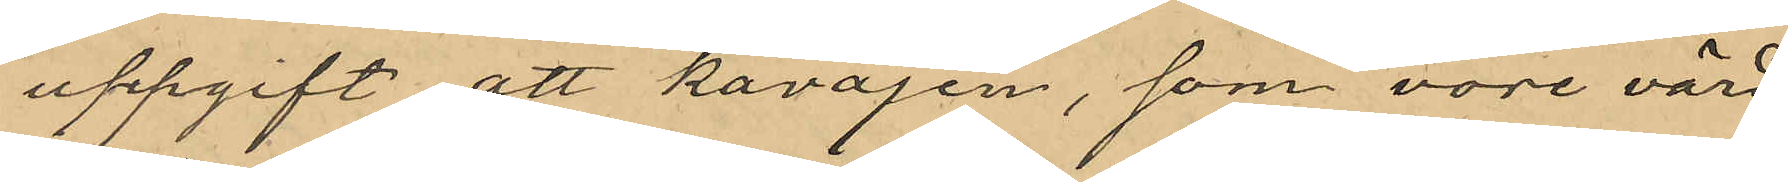uppgift att kavajen, som vore värd
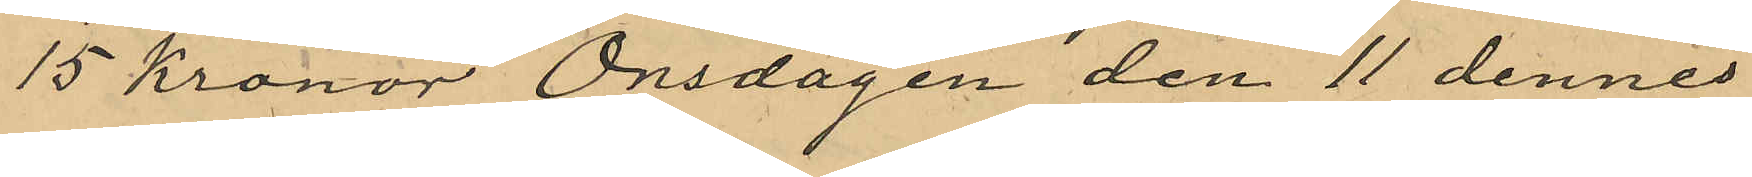15 Kronor Onsdagen den 11 dennes
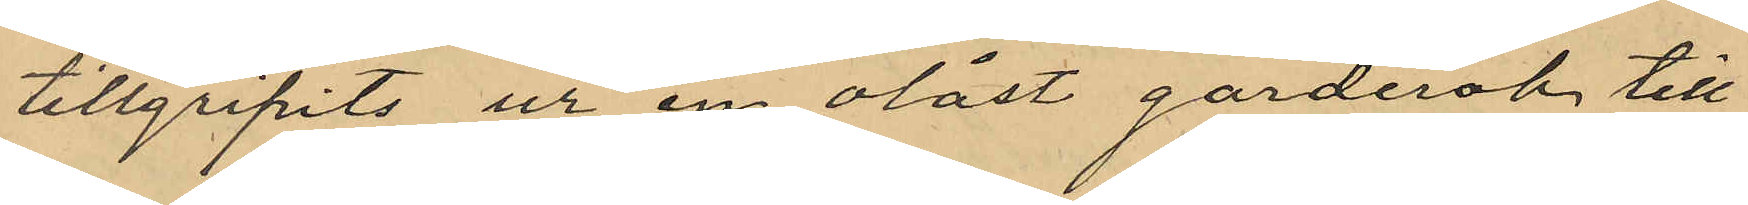tillgripits ur en olåst garderob till
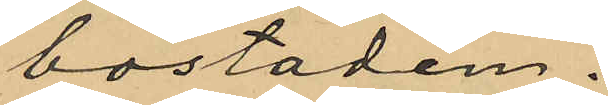bostaden.
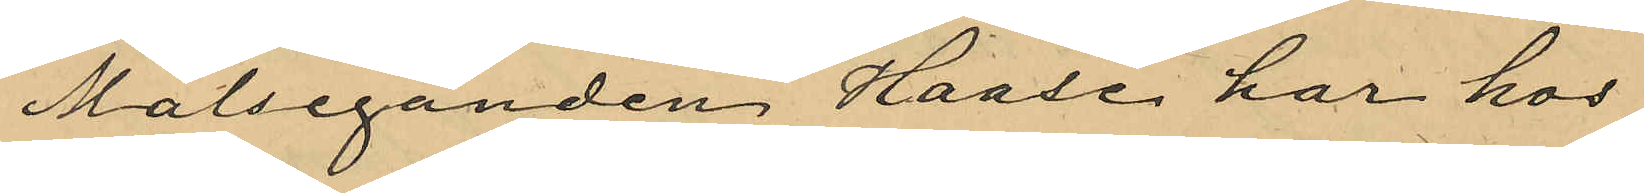Målseganden Haase har hos
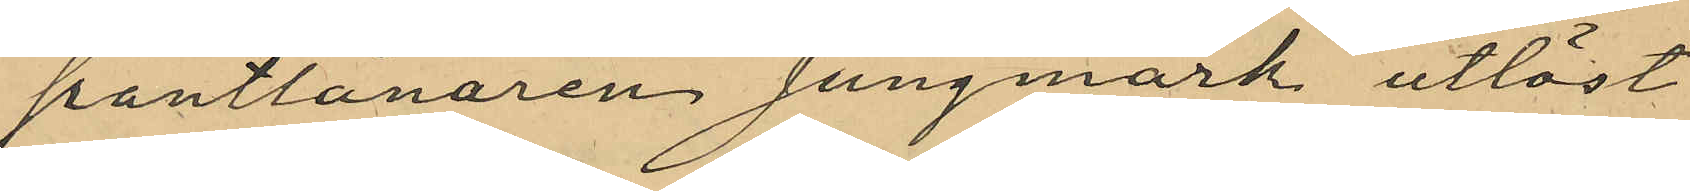pantlånaren Jungmark utlöst
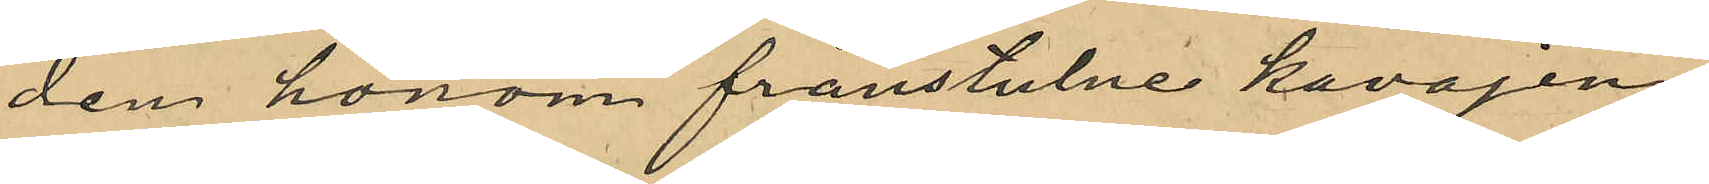den honom frånstulne kavajen.
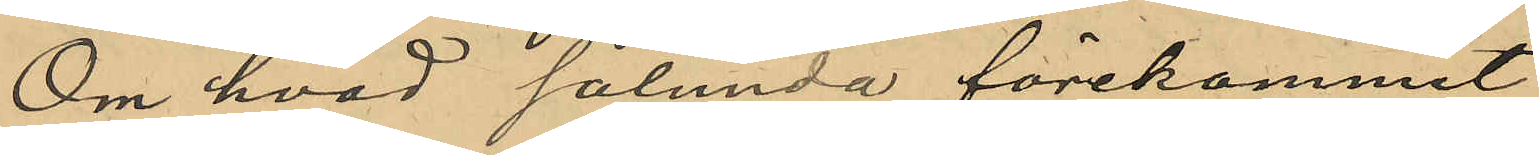Om hvad sålunda förekommit
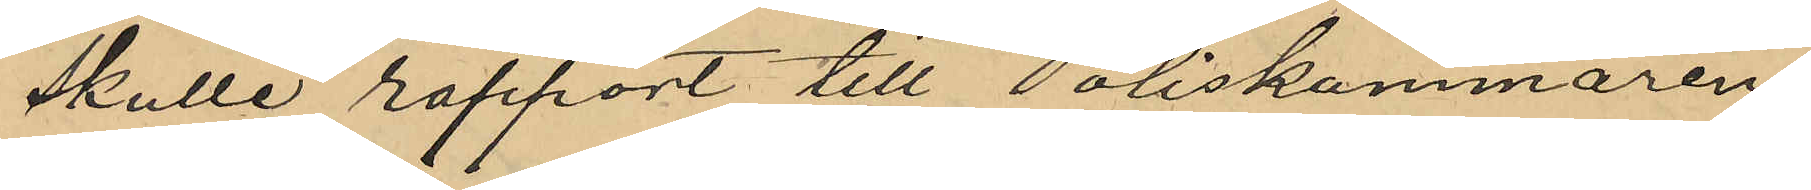skulle rapport till Poliskammaren
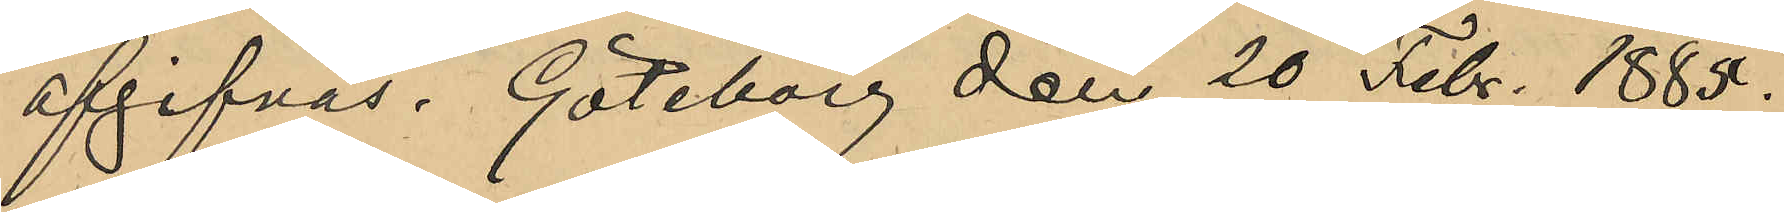afgifvas. Göteborg den 20 Febr. 1885.
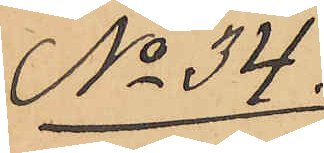No 34.
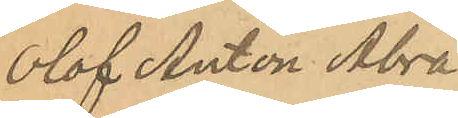Olof Anton Abra¬
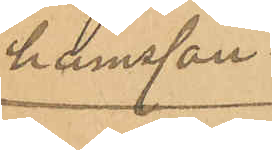hamsson.
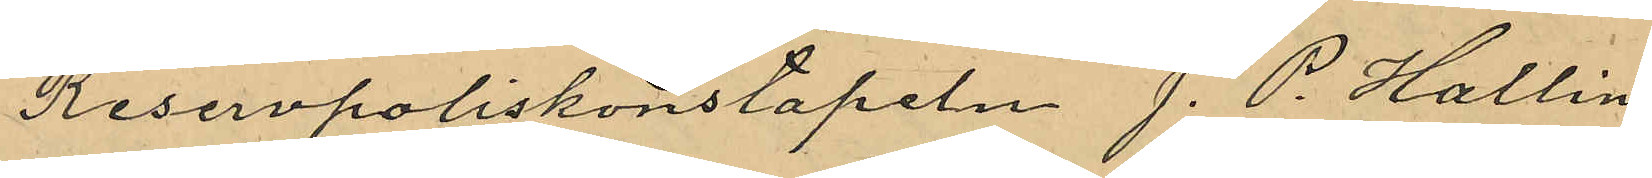Reservpoliskonstapeln J. P. Hallin
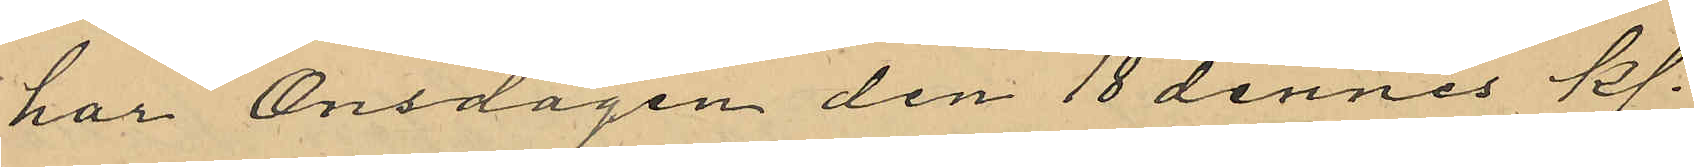har Onsdagen den 18 dennes kl.
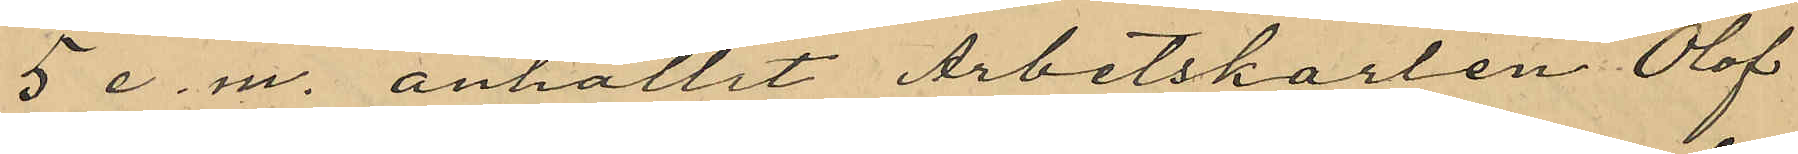5 e. m. anhållit Arbetskarlen Olof
